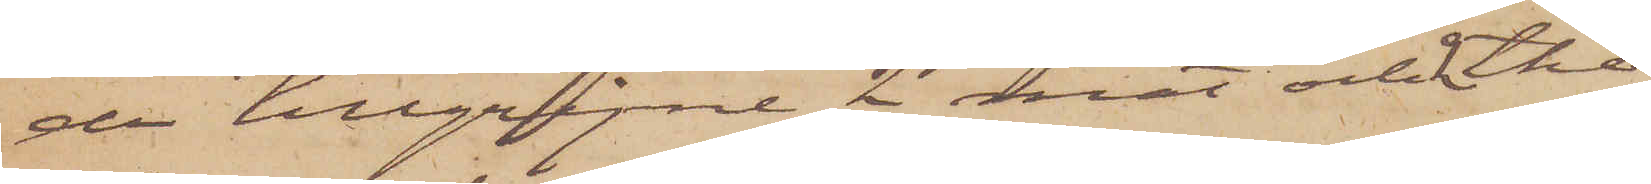der tillgripne 2 mat och 2 the¬
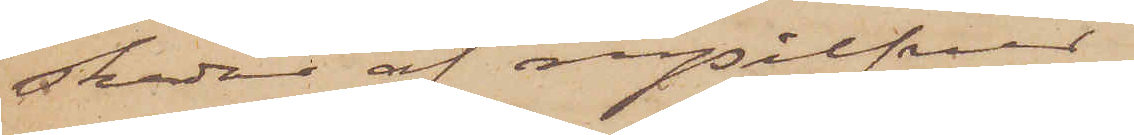skedar af nysilfver
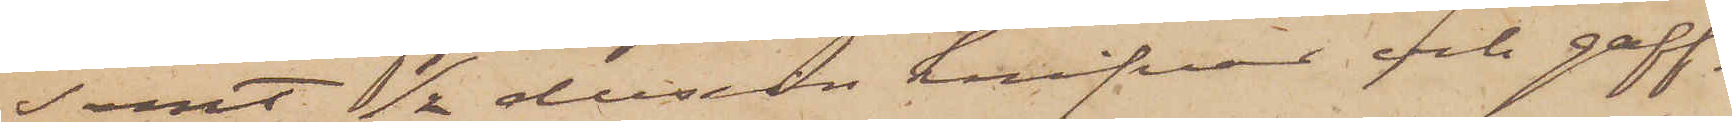samt 1/2 dussin knifvar och gaff¬
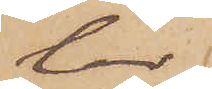lar.
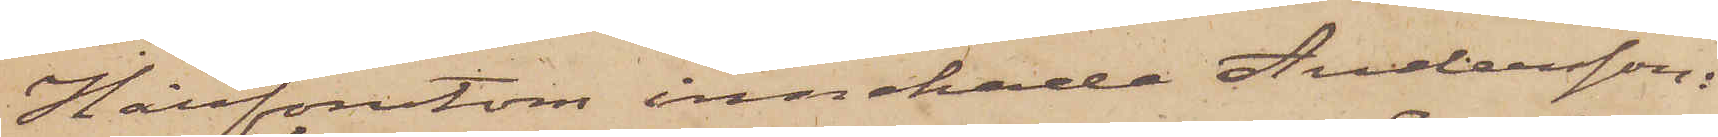Härförutom innehade Andersson:
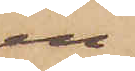en
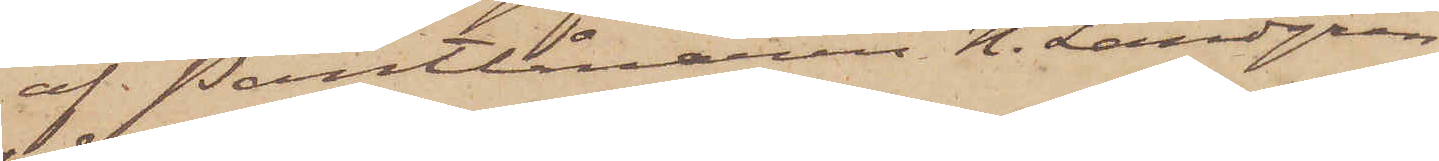af Pantlånaren N. Landgren
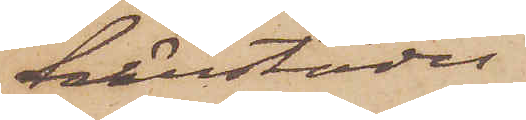härstädes
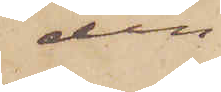den
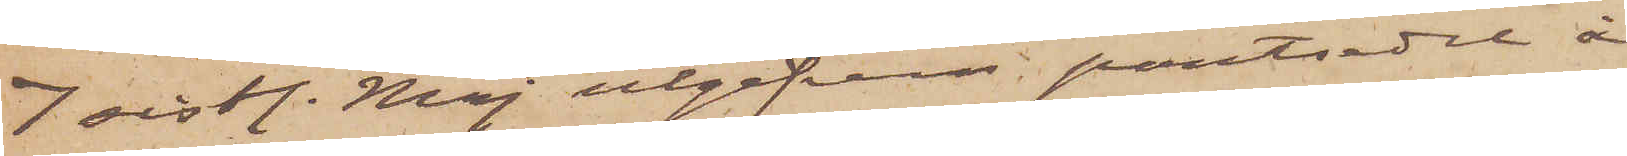7 sistl. Maj utgifven pantsedel å
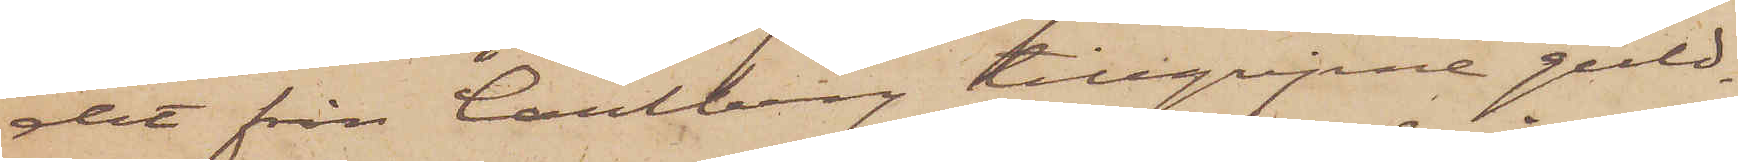det från Carlberg tillgripne guld¬
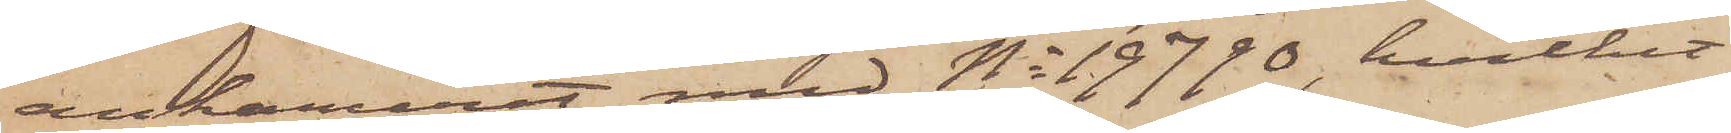ankaruret med No 19790, hvilket
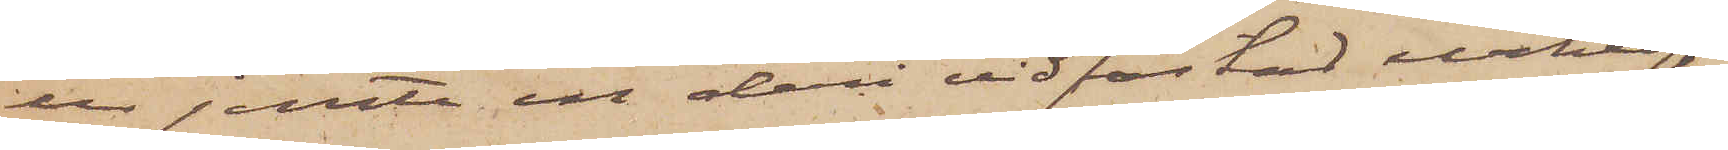ur jemte en deri vidfästad urkedja
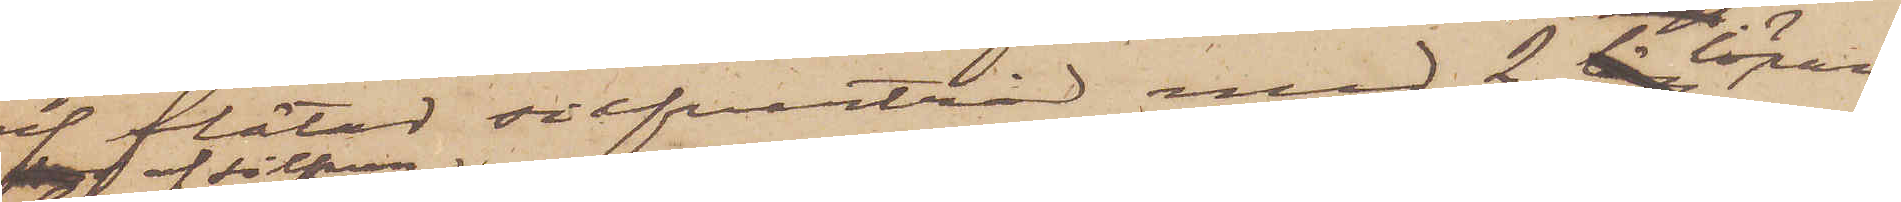af flätad silfvertråd med 2 längs löpare
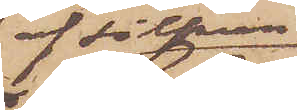af silfver
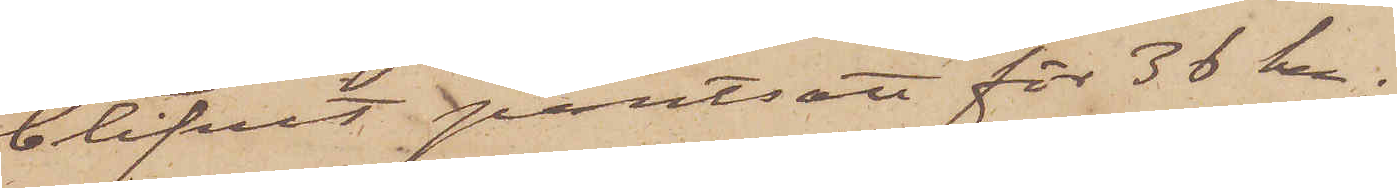blifvit pantsatt för 36 kr;
